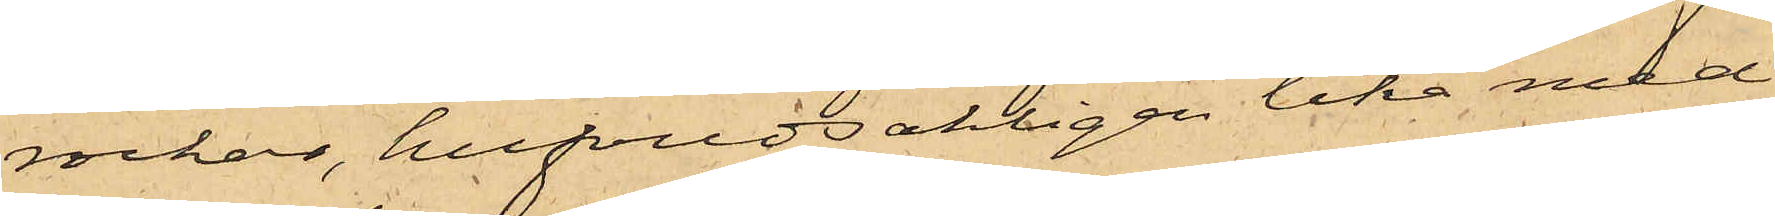rockar, hufvudsakligen lika med
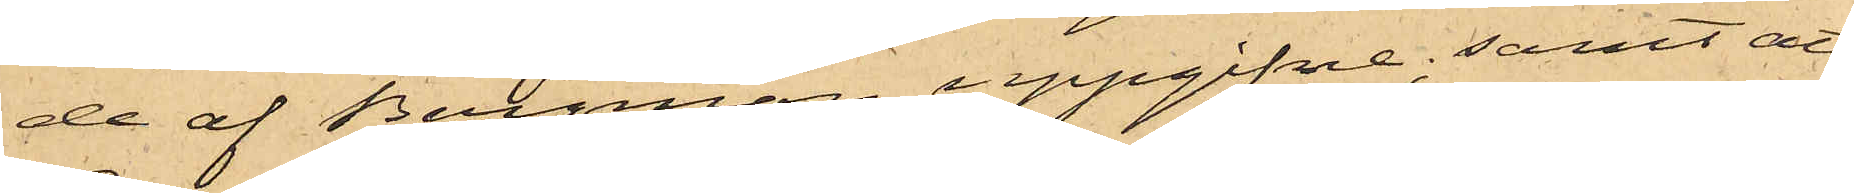de af Bergman uppgifne; samt att
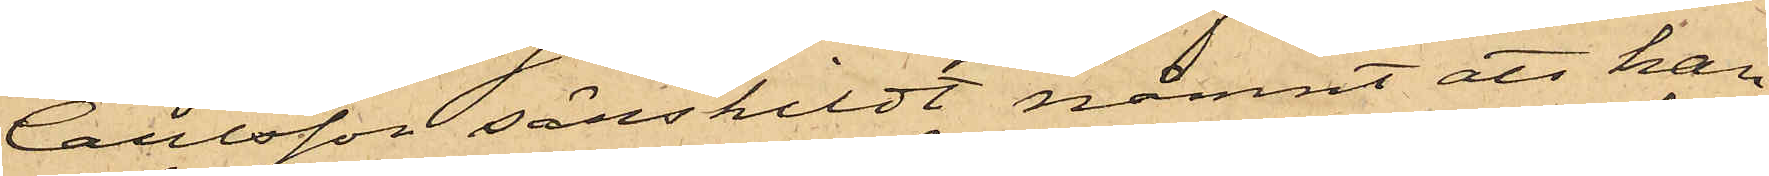Carlsson särskildt nämnt att han
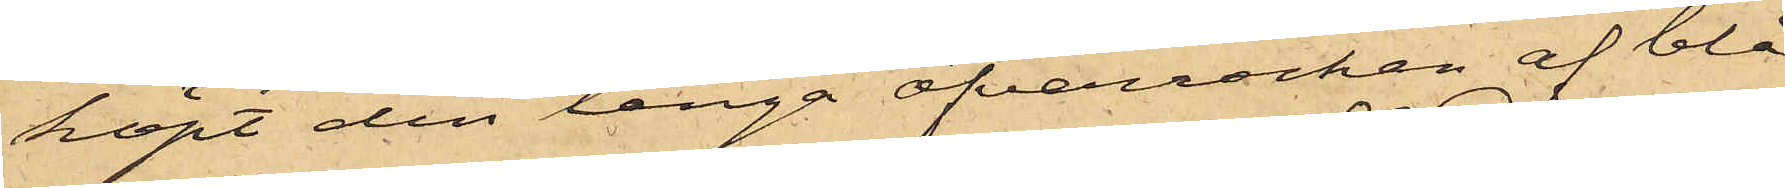köpt den långa öfverrocken af blå
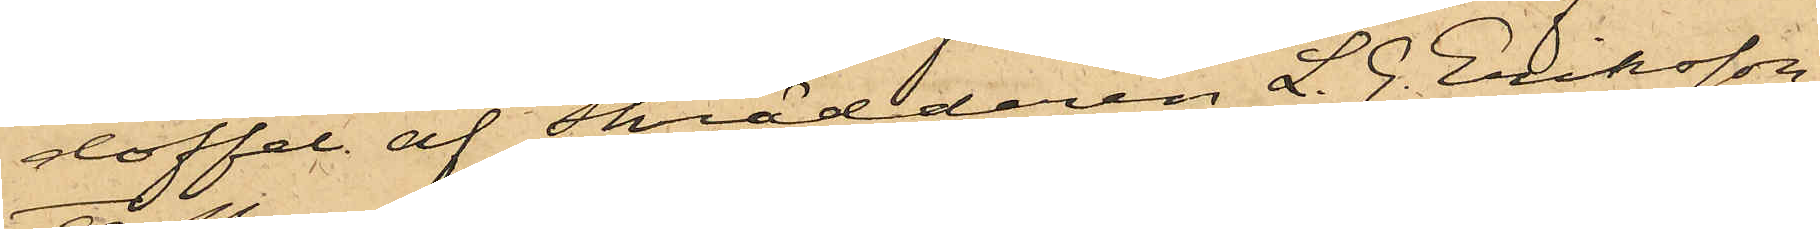doffel af Skräddaren L. J. Eriksson;
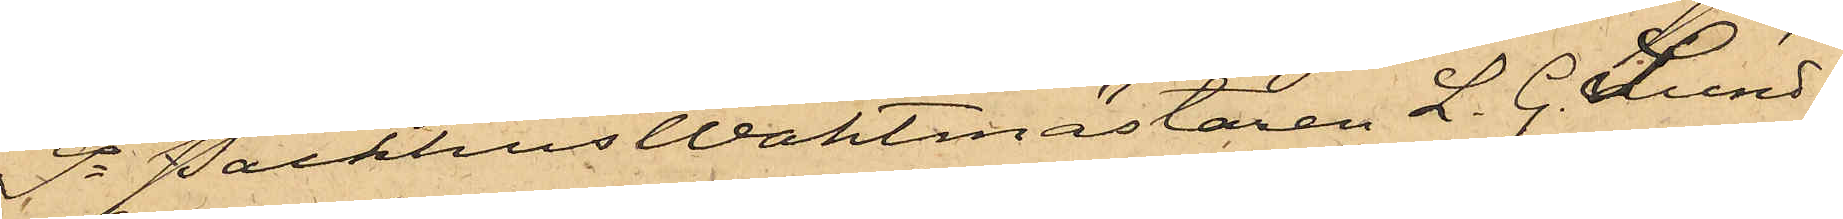9o PackhusWaktmästaren L. G. Lund¬
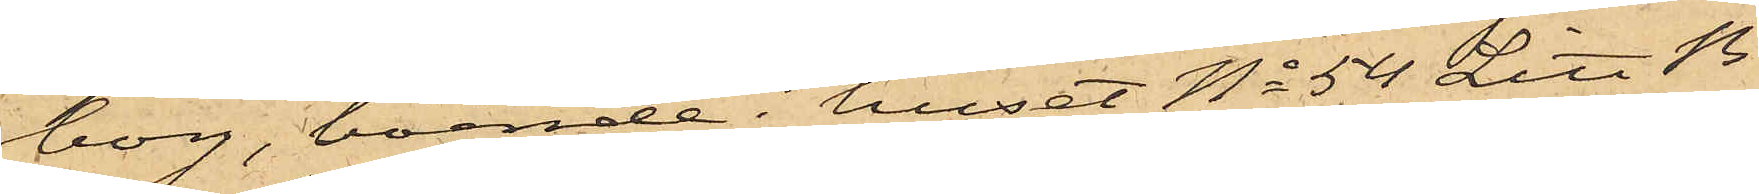borg, boende i huset No 54 Litt B
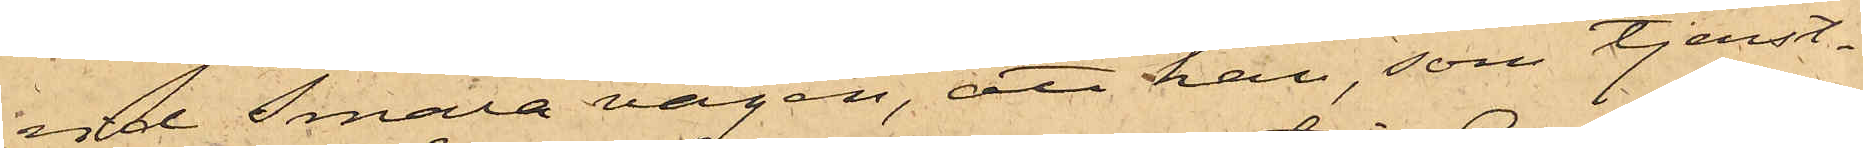vid Smala vägen, att han, som tjenst¬
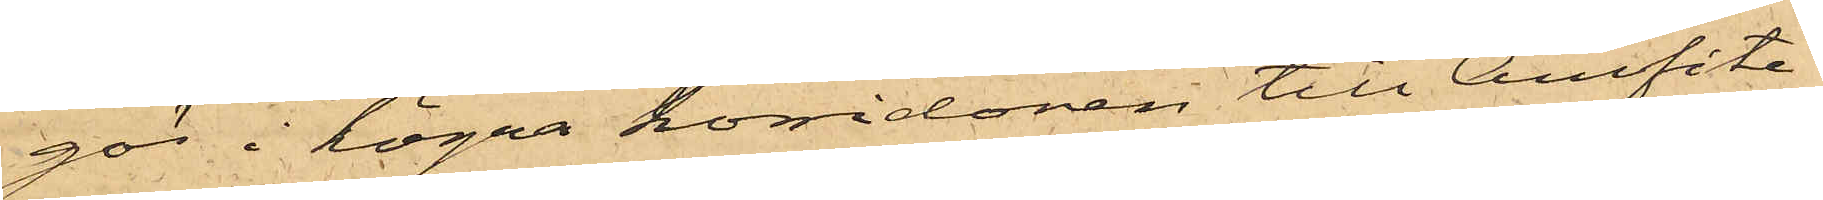gör i högra korridoren till Amfite¬
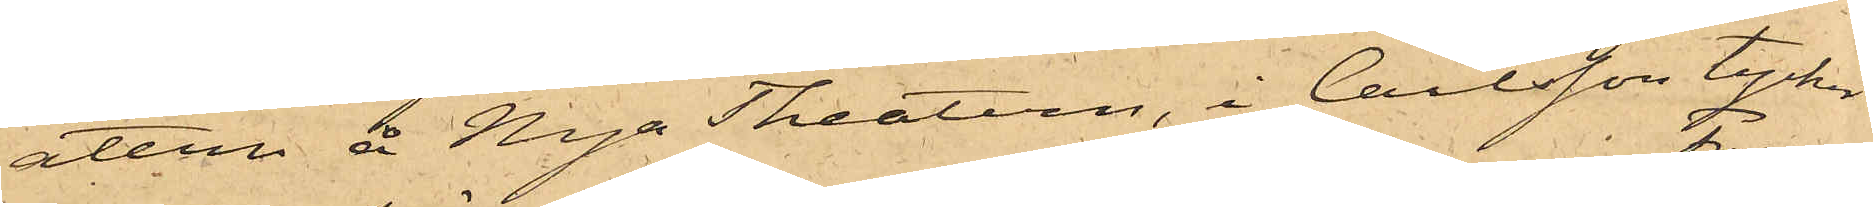atern å Nya Theatern, i Carlsson tycker
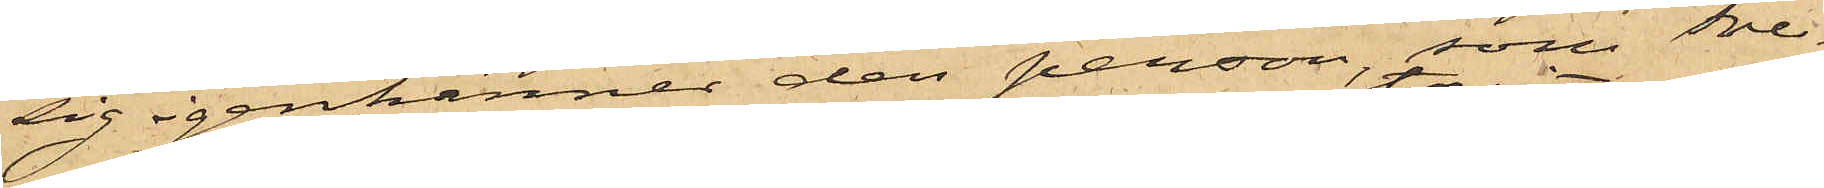sig igenkänner den person, som Fre¬
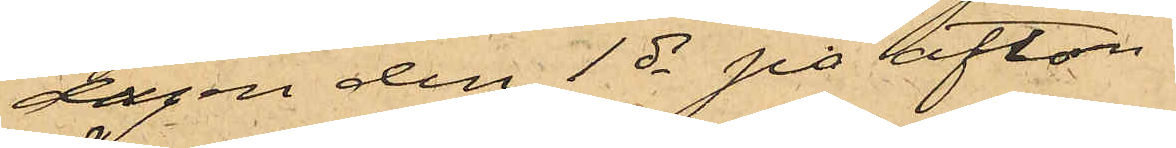dagen den 1 ds på afton
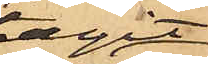tagit
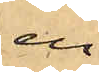en
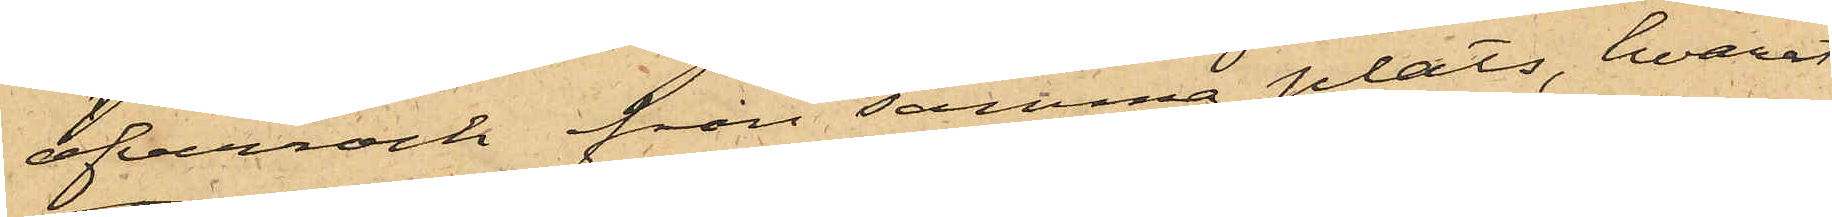öfverrock från samma plats, hvarest
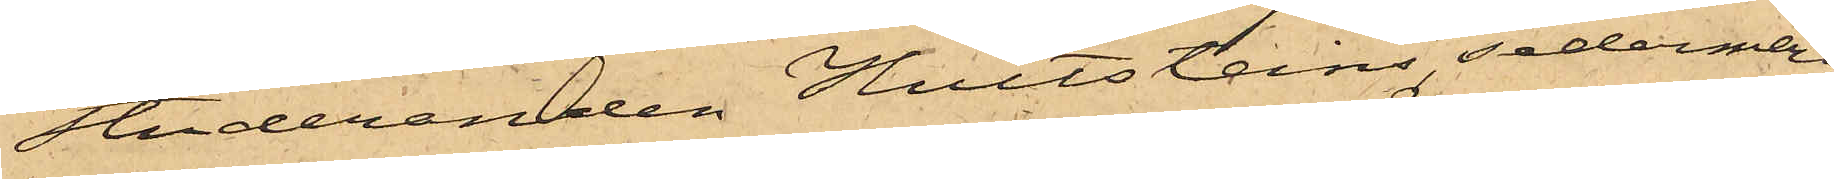Studeranden Hultsteins sedermera
